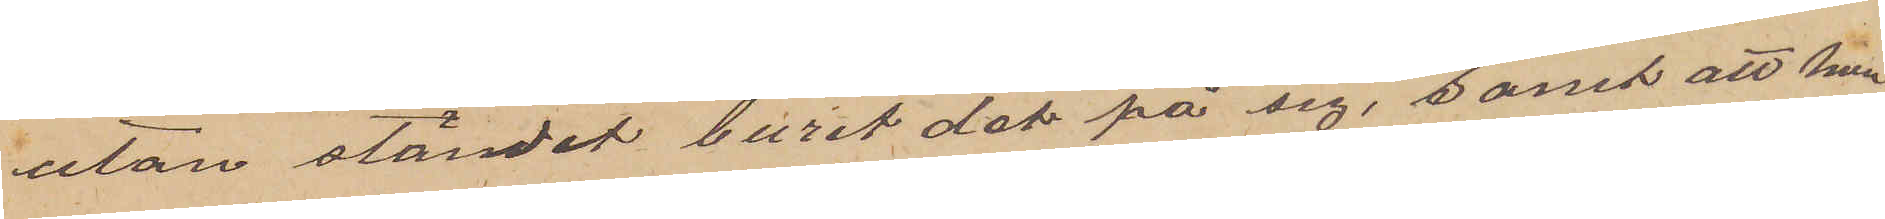utan ständet burit det på sig, samt att hon
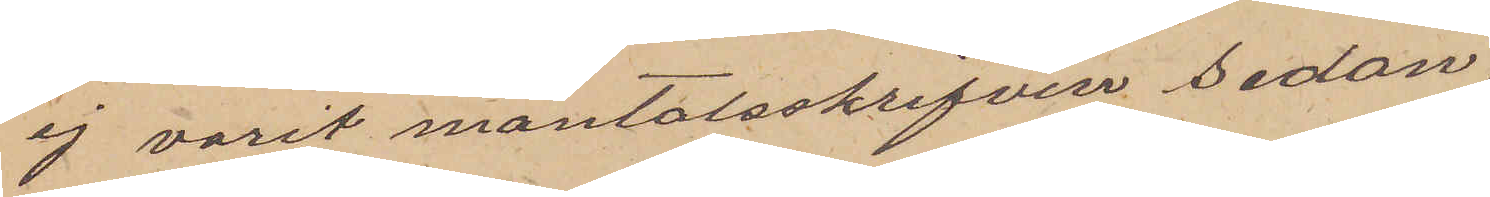ej varit mantalsskrifven sedan
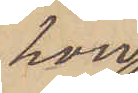hon
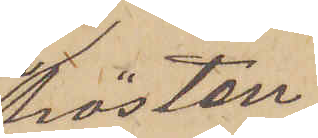hösten
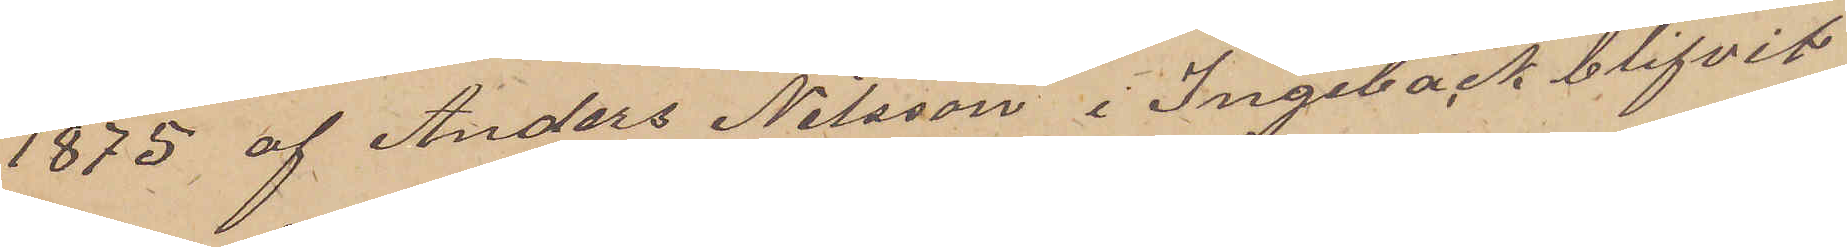1875 af Anders Nilsson i Ingebäck blifvit
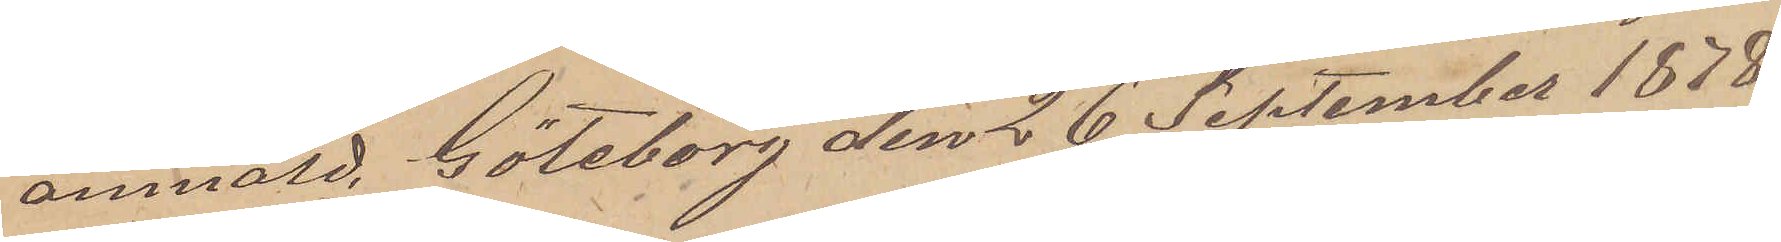anmäld. Göteborg den 26 September 1878.
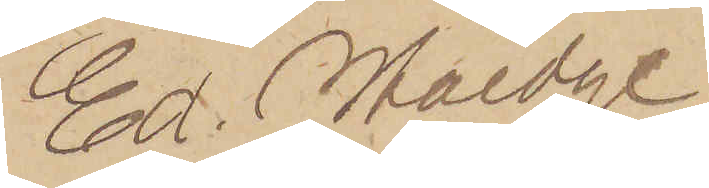Ed. Haedge
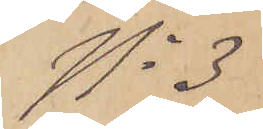No 3
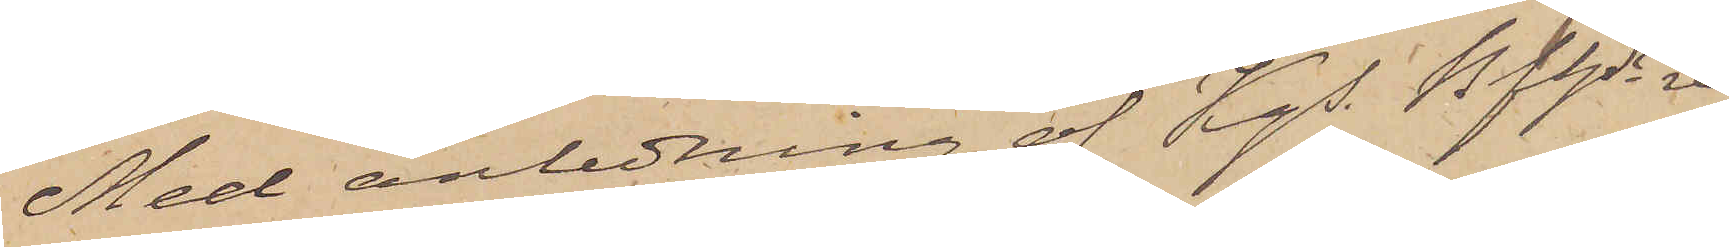Med anledning av Kgs. Bhfres re¬
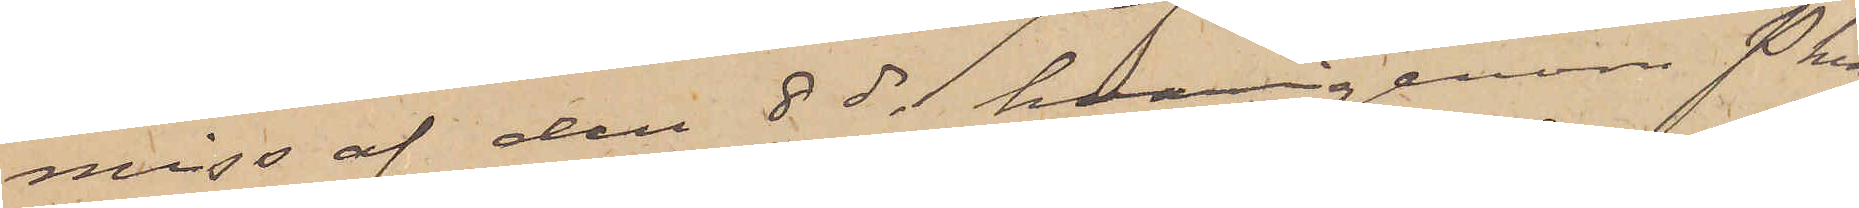miss af den 8 ds hvarigenom Pkn
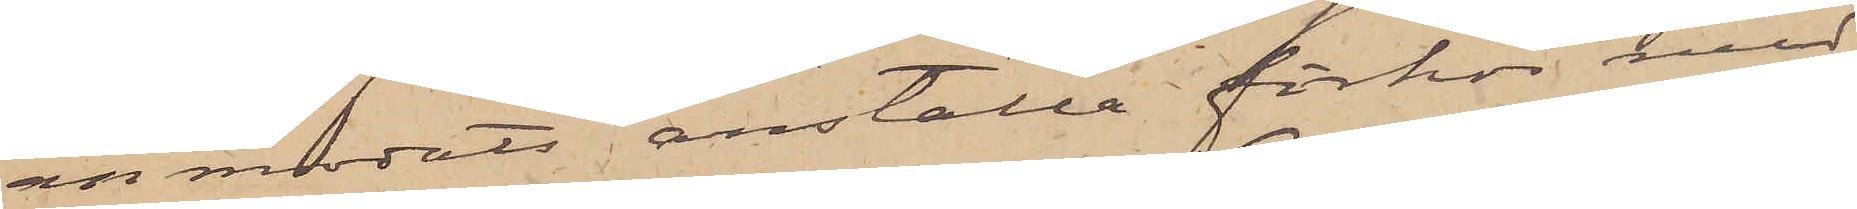anmodats anställa förhör med
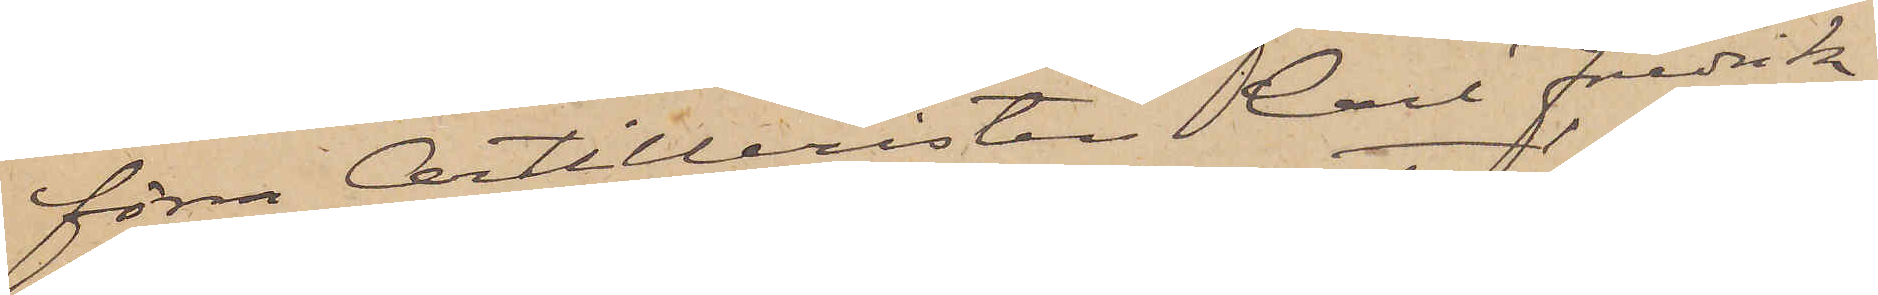förra Artilleristen Carl Fredrik
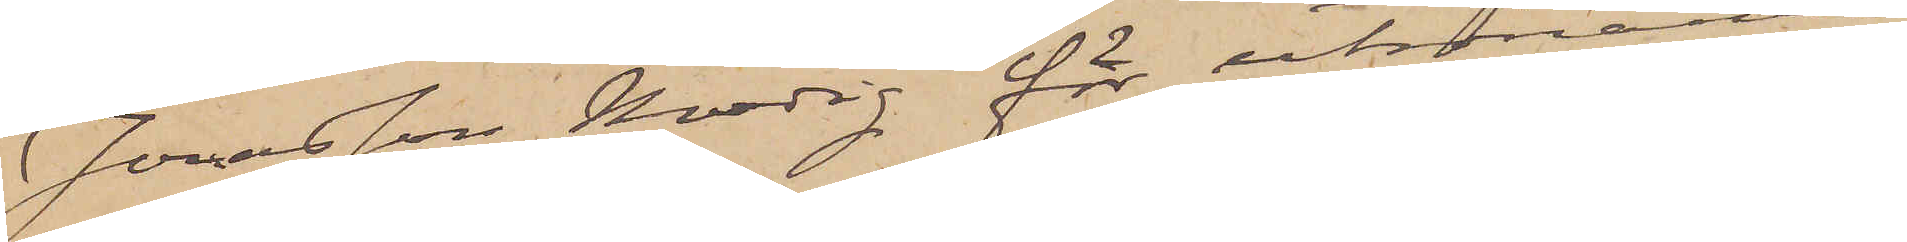Jonasson Modig för utrönande
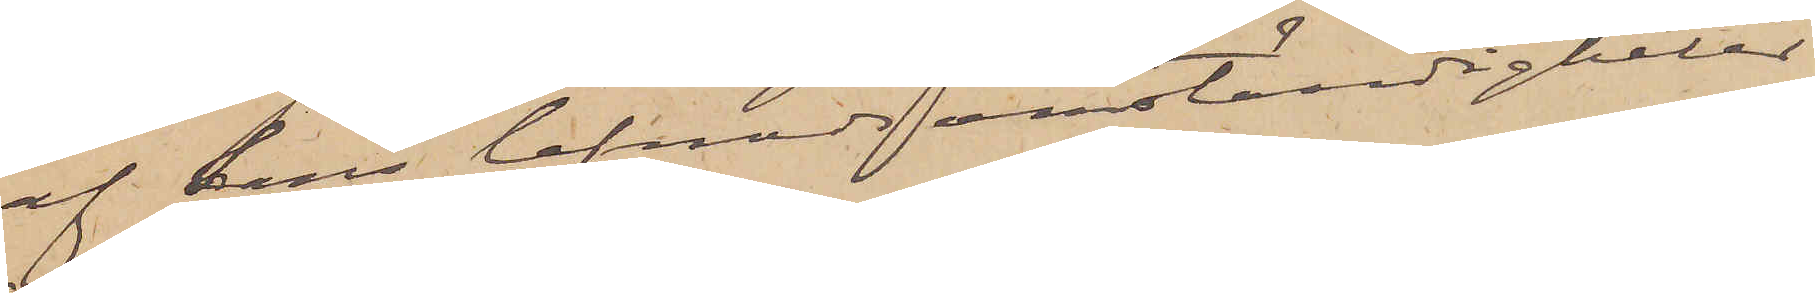af hans lefnadsomständigheter
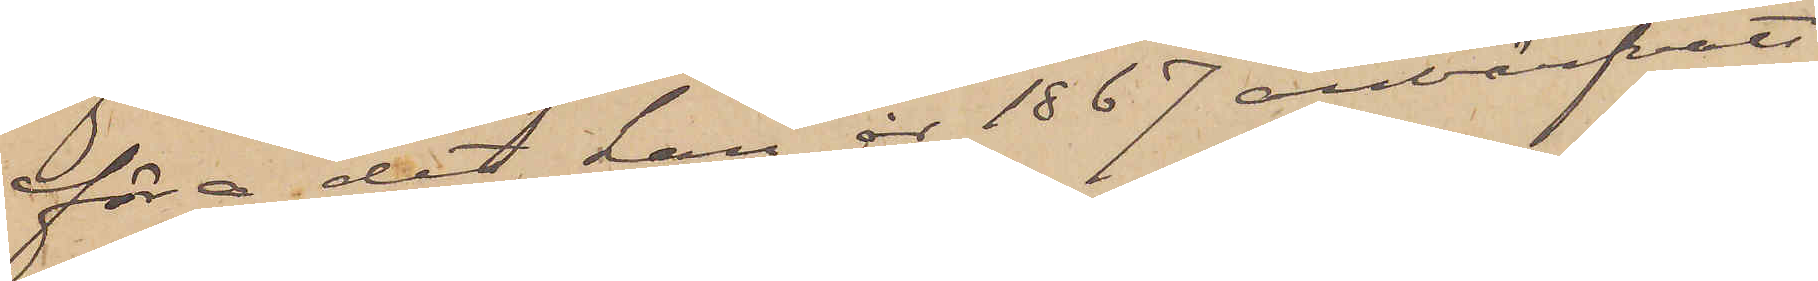före det han år 1867 anvärfvats
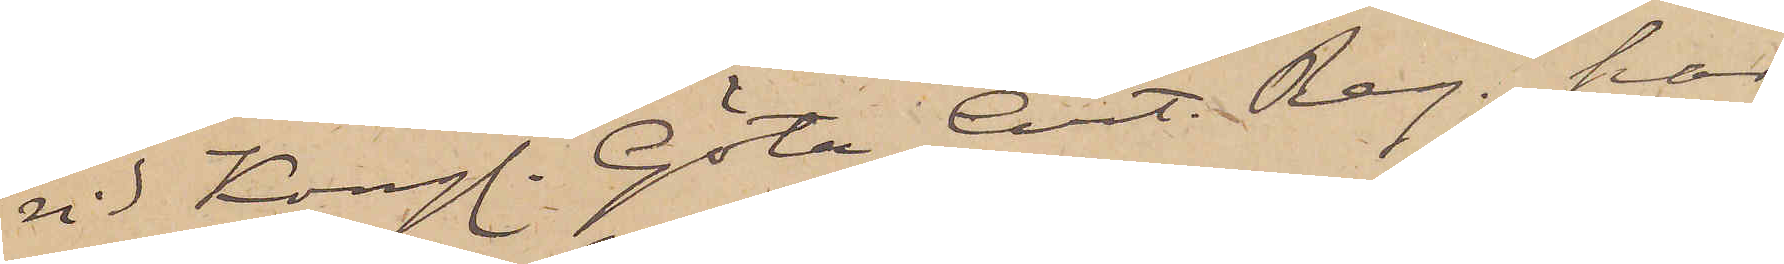vid Kongl. Göta Art. Reg., har
